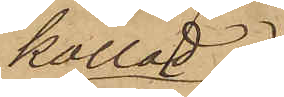kallad
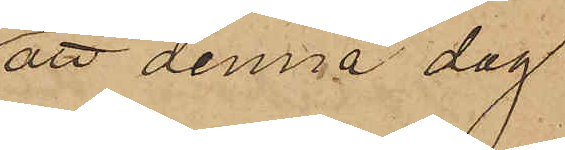att denna dag
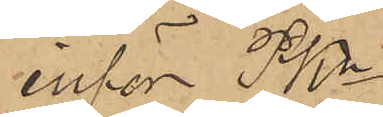inför PKn
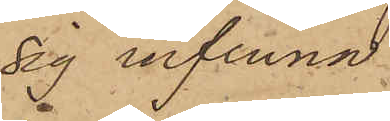sig infinna.
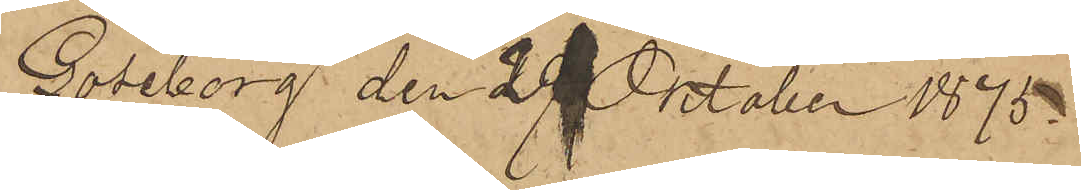Göteborg den 29 Oktober 1875.
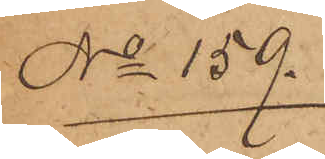No 159.
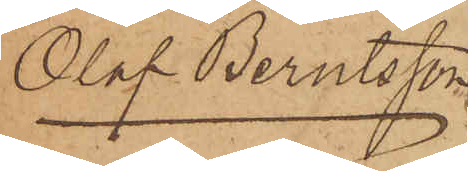Olof Berntsson
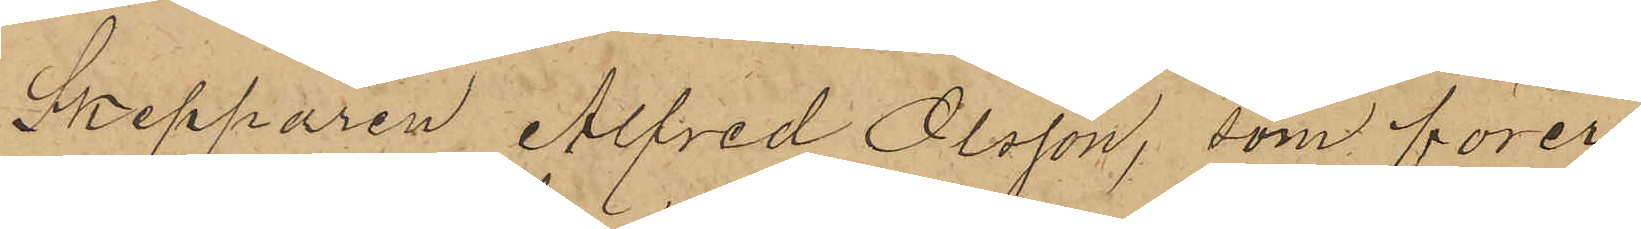Skepparen Alfred Olsson, som förer
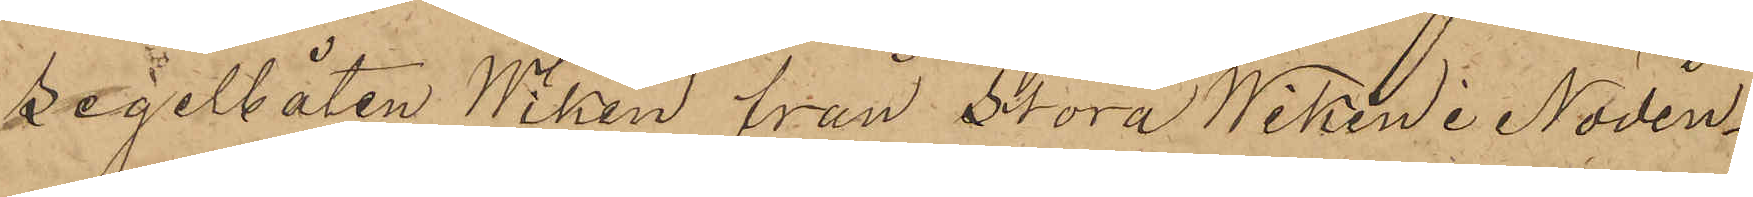segelbåten Wiken från Stora Wiken i Nödin¬
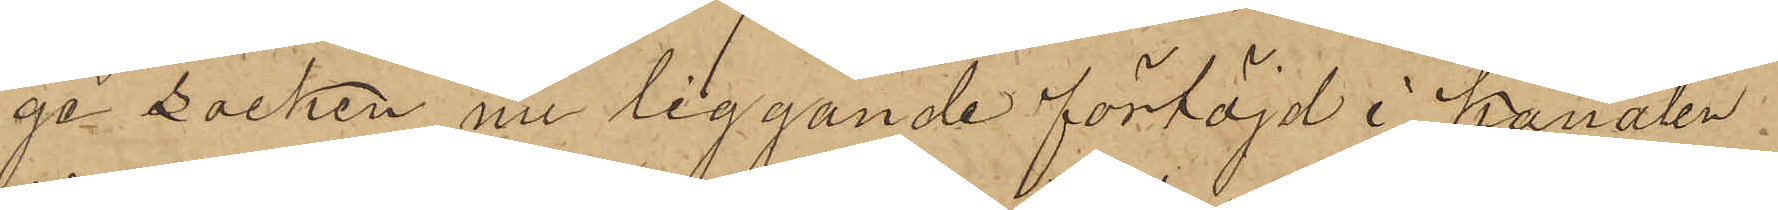ge Socken nu liggande förtöjd i kanalen
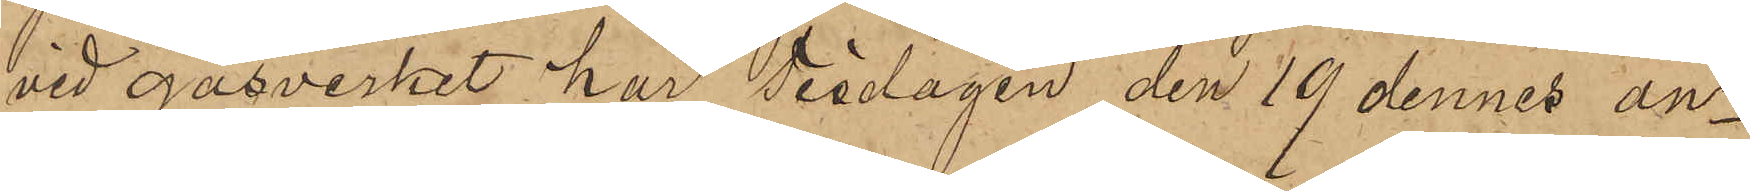vid gasverket har Tisdagen den 19 dennes an¬
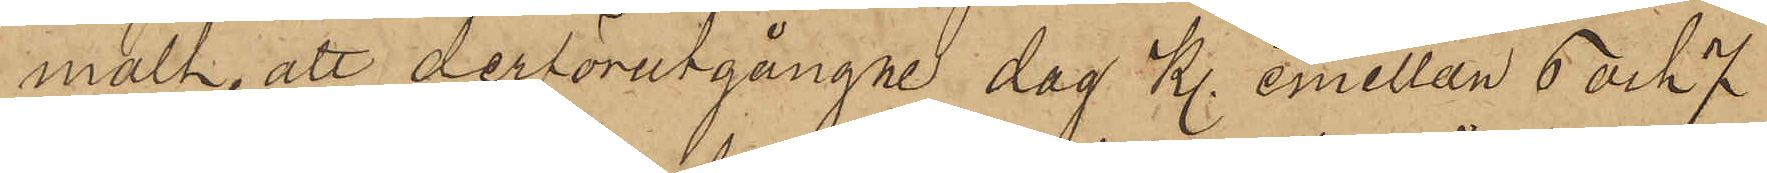mält, att derförutgångne dag kl. emellan 6 och 7
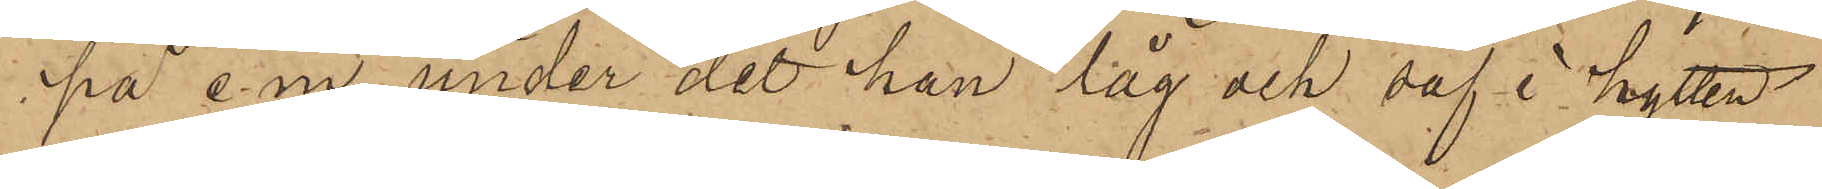på e.m under det han låg och såf i hytten
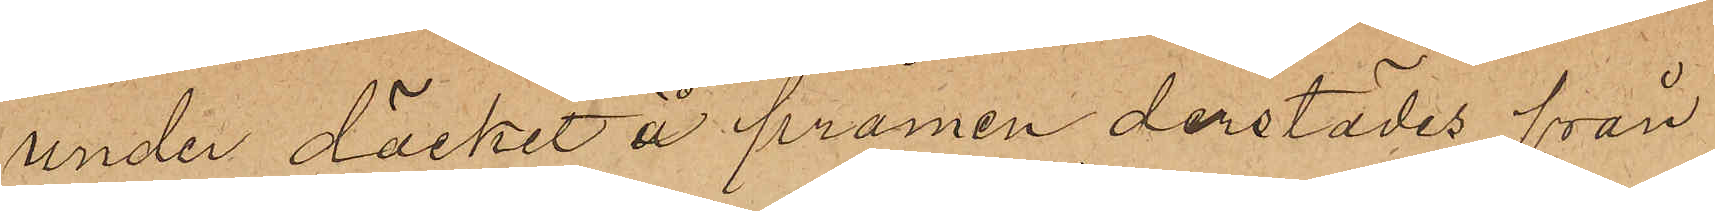under däcket å pråmen derstädes från
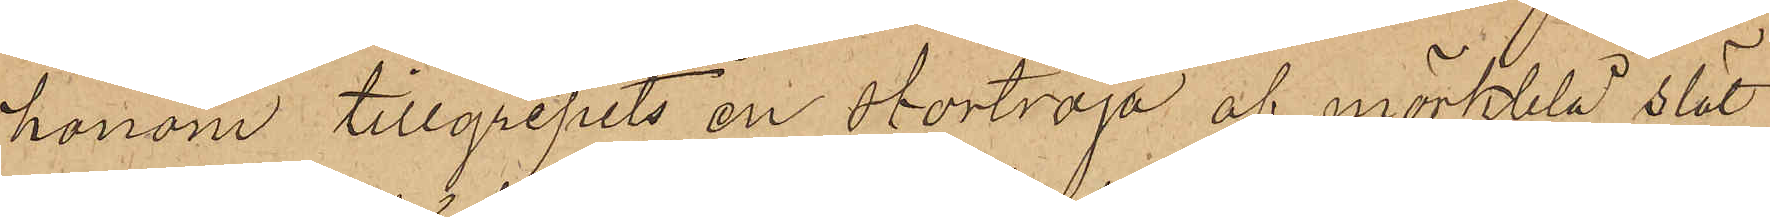honom tillgripits en stortröja af mörkblå slät
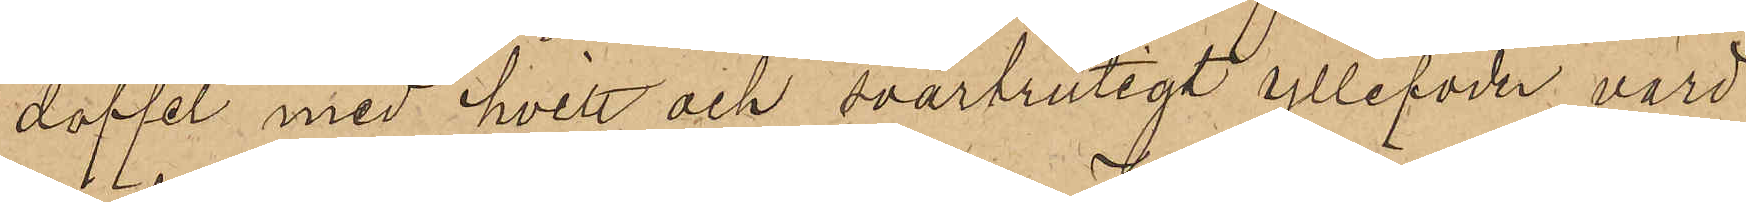doffel med hvitt och svartrutigt yllefoder värd
